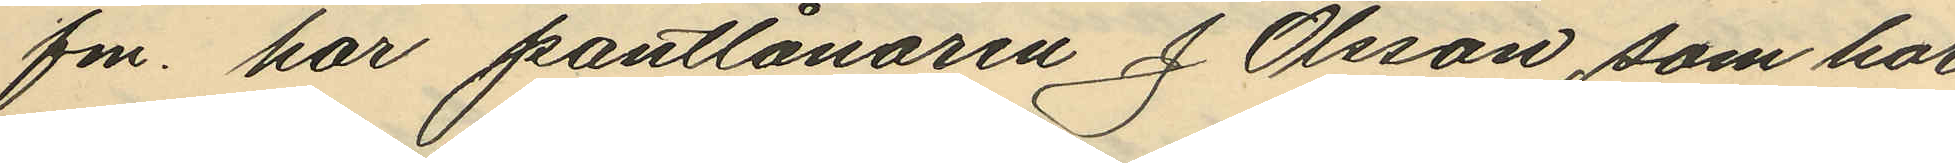fm. har pantlånaren J. Olsson, som har
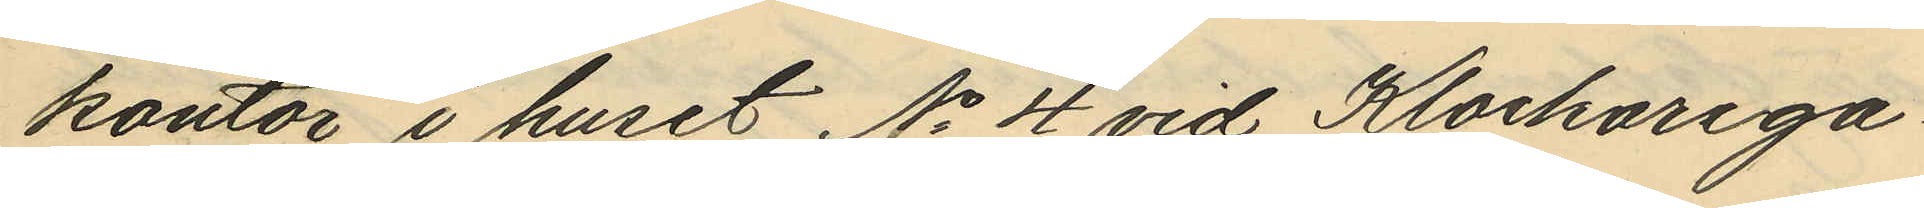kontor i huset No 4 vid Klockarega¬
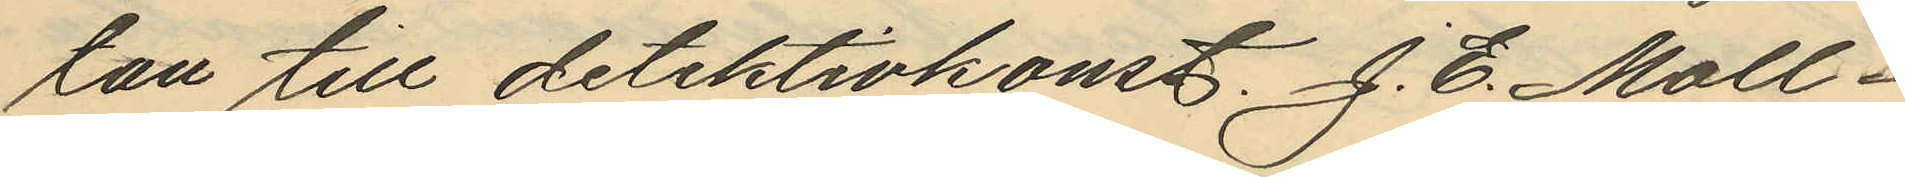tan till detektivkonst. J. E. Moll¬
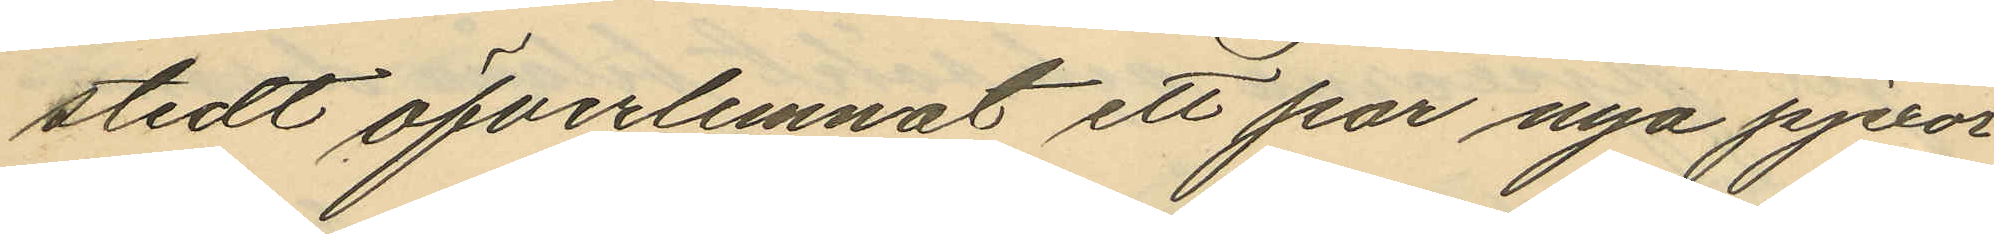stedt öfverlemnat ett par nya pjexor
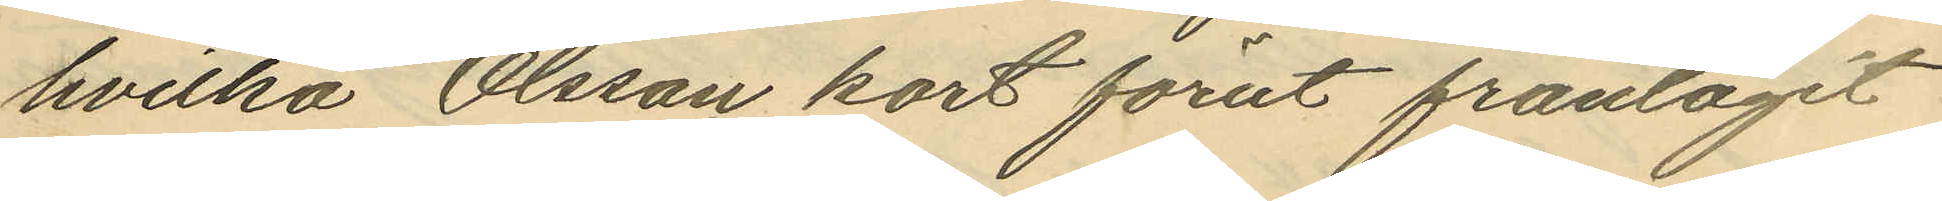hvilka Olsson kort förut fråntagit
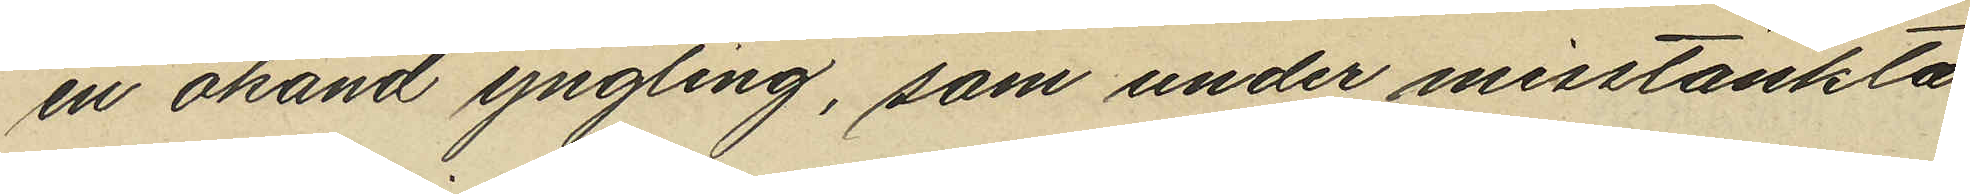en okänd yngling, som under misstänkta
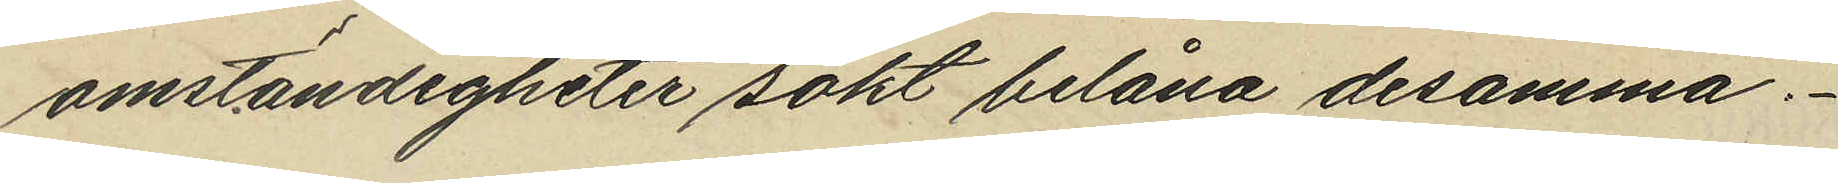omständigheter sökt belåna desamma.
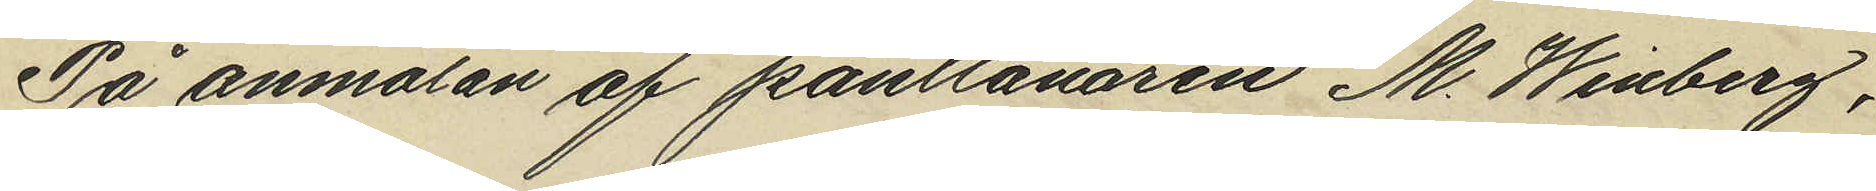På anmälan af pantlånaren M. Winberg,
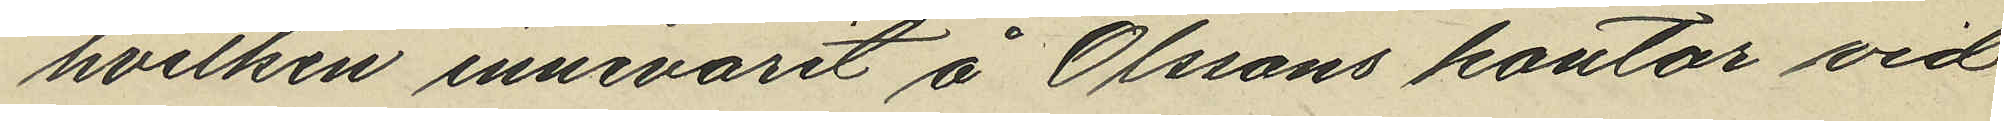hvilken innevarit å Olssons kontor vid
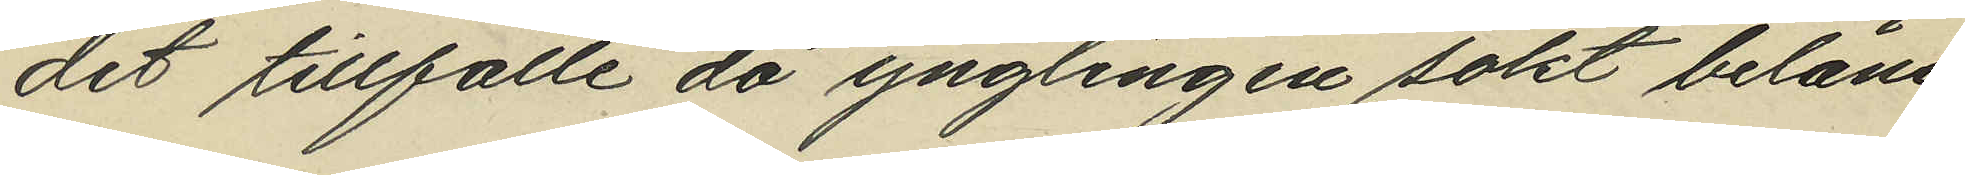det tillfälle då ynglingen sökt belåna
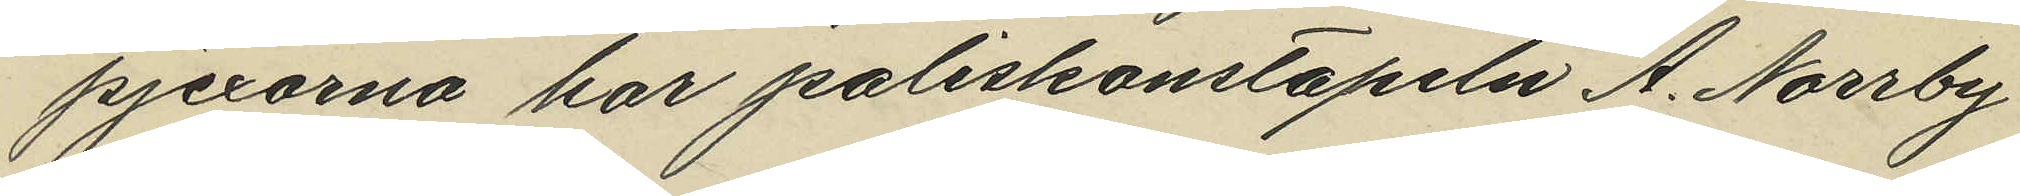pjexorna har poliskonstapeln A. Norrby
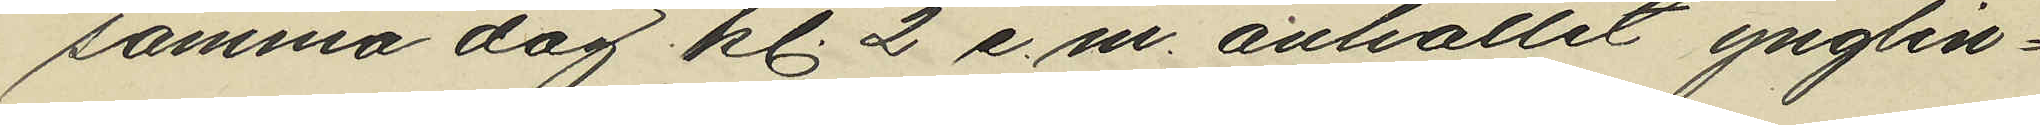samma dag kl. 2 e.m. anhållit ynglin¬
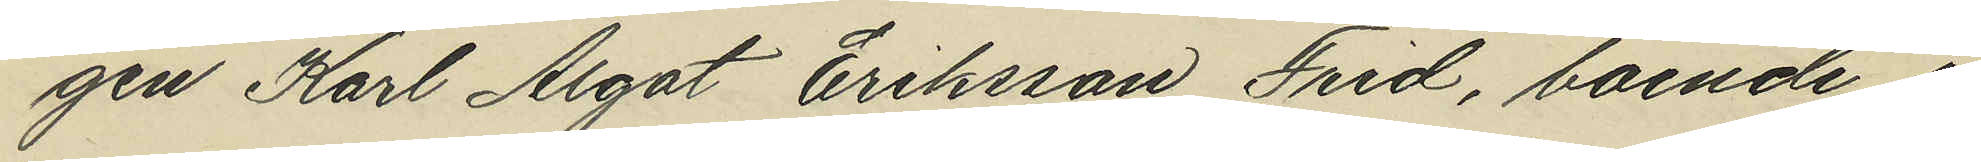gen Karl Algot Eriksson Frid, boende i
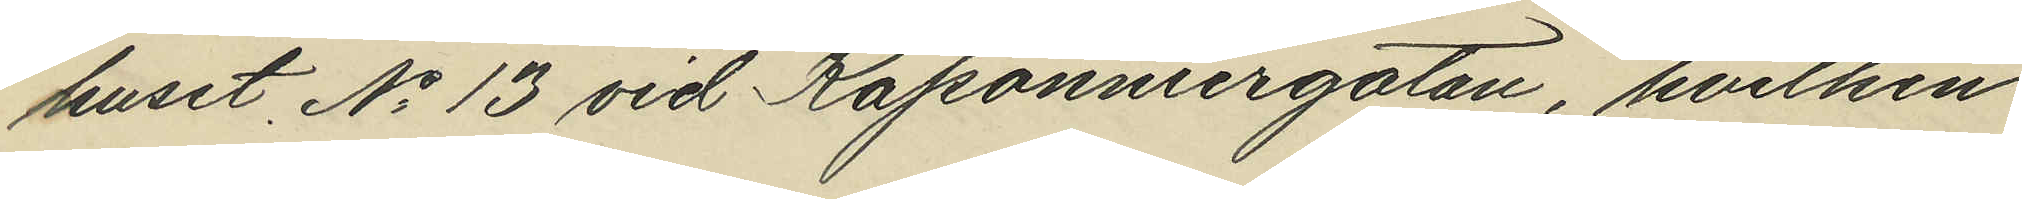huset No 13 vid Kaponniergatan, hvilken
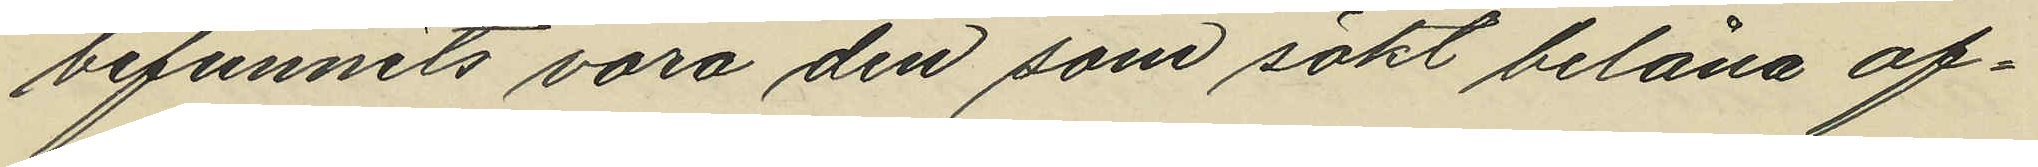befunnits vara den som sökt belåna of¬
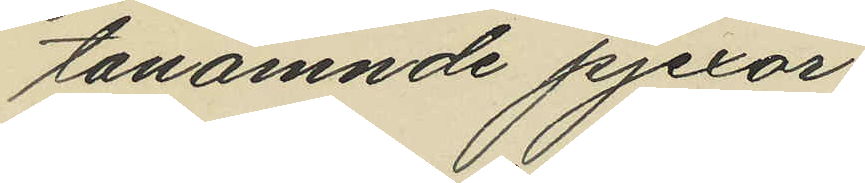tanämnde pjexor.
